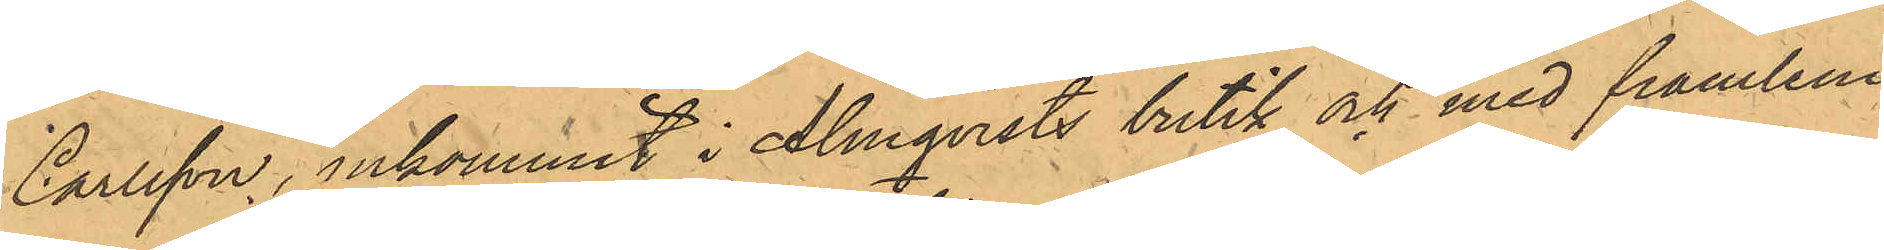Carlsson, inkommit i Almqvists butik och med framlem¬
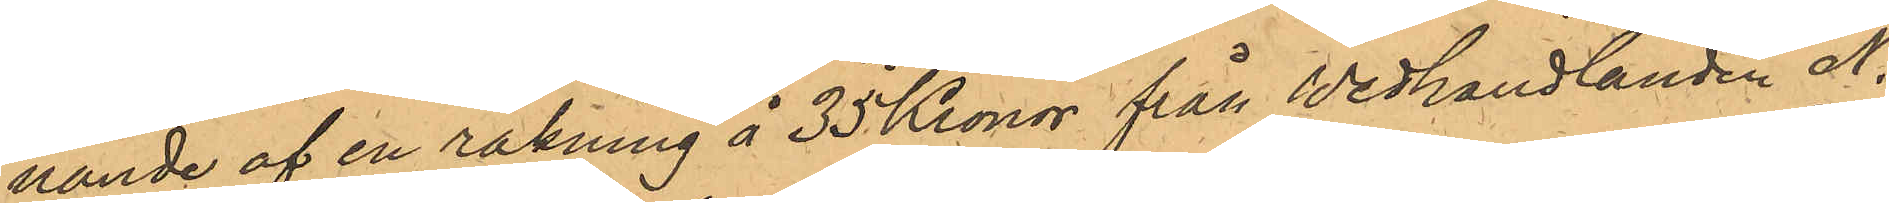nande af en räkning å 35 Kronor från Wedhandlanden N.
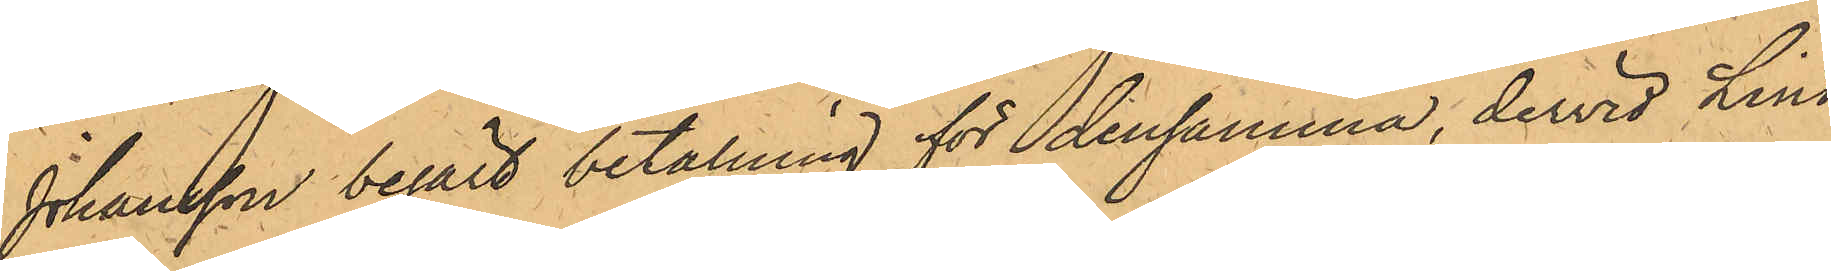Johansson begärt betalning för densamma, dervid Lind
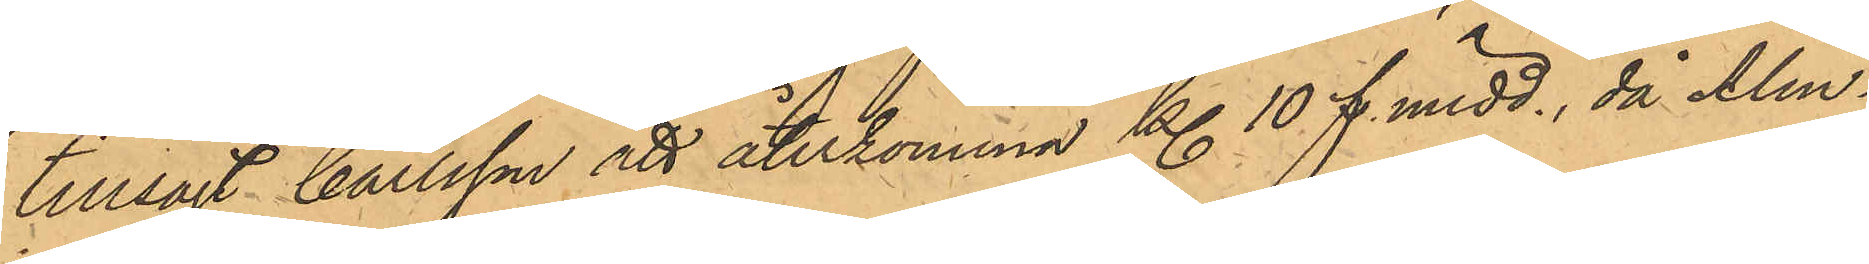tillsagt Carlsson att återkomma kl 10. f. midd., då Alm¬
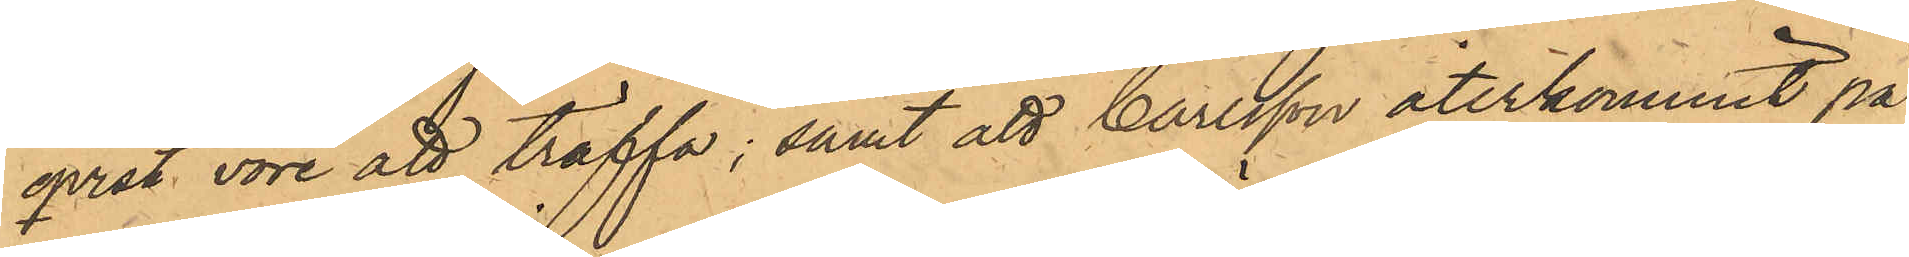qvist vore att träffa; samt att Carlsson återkommit på
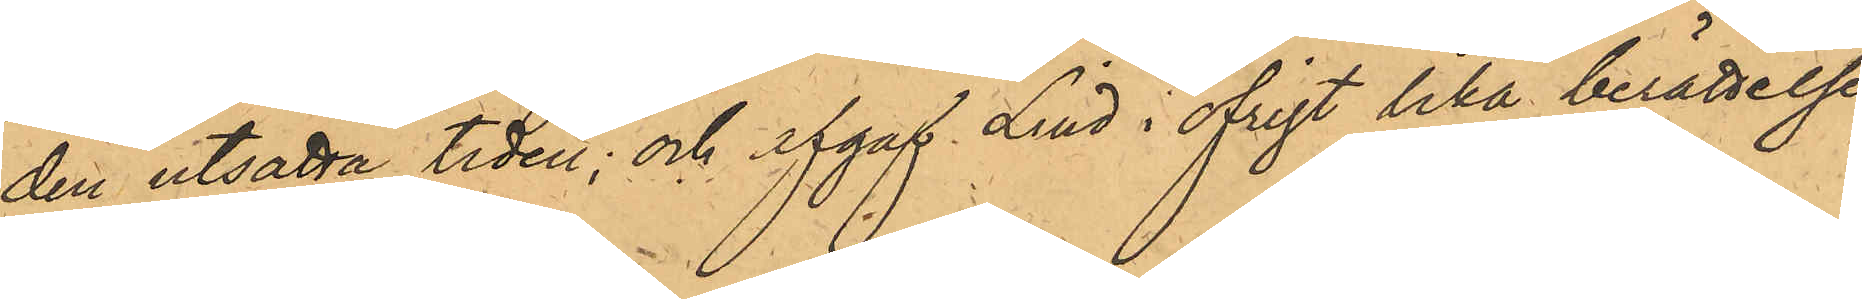den utsatta tiden; och afgaf Lind i öfrigt lika berättelse
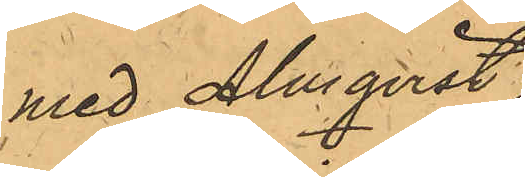med Almqvist;
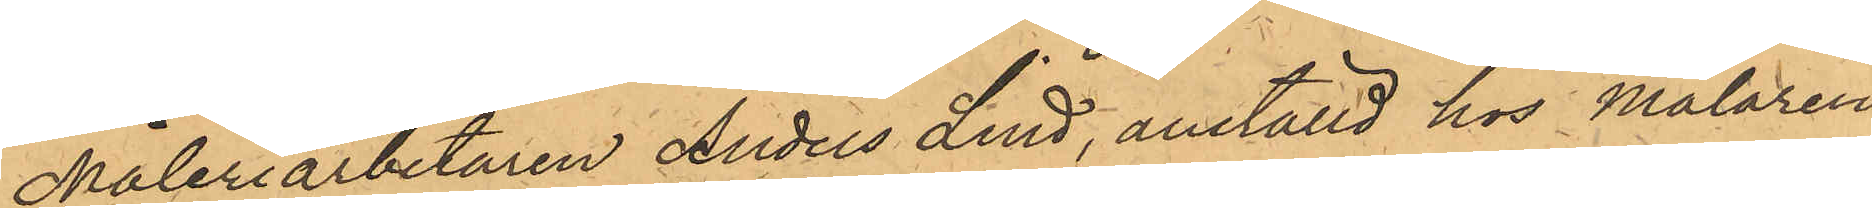Måleriarbetaren Anders Lind, anställd hos Målaren
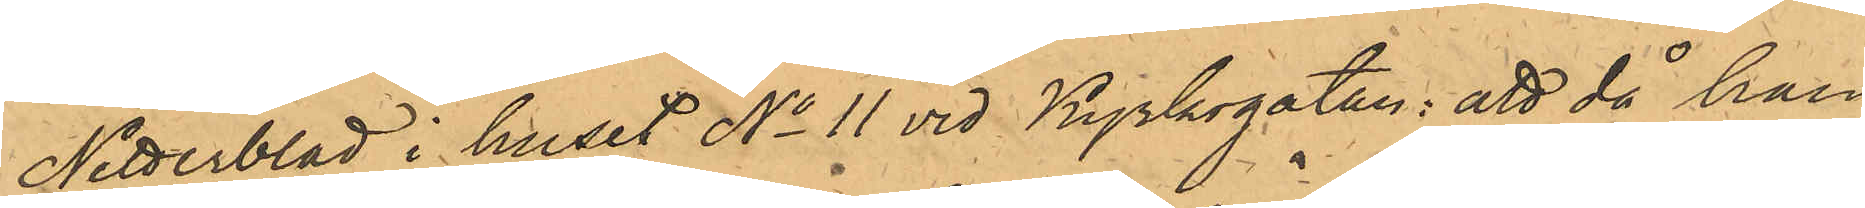Netterblad i huset No 11 vid Kyrkogatan: att då han
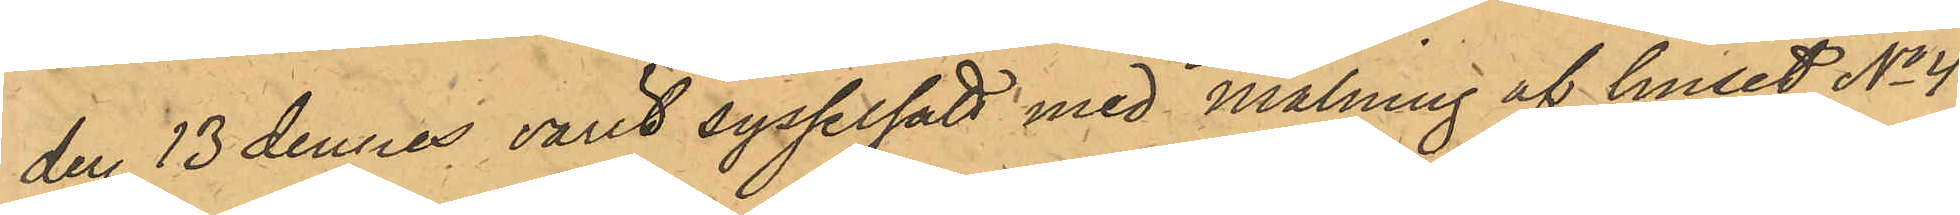den 13 dennes varit sysselsatt med målning af huset No 4
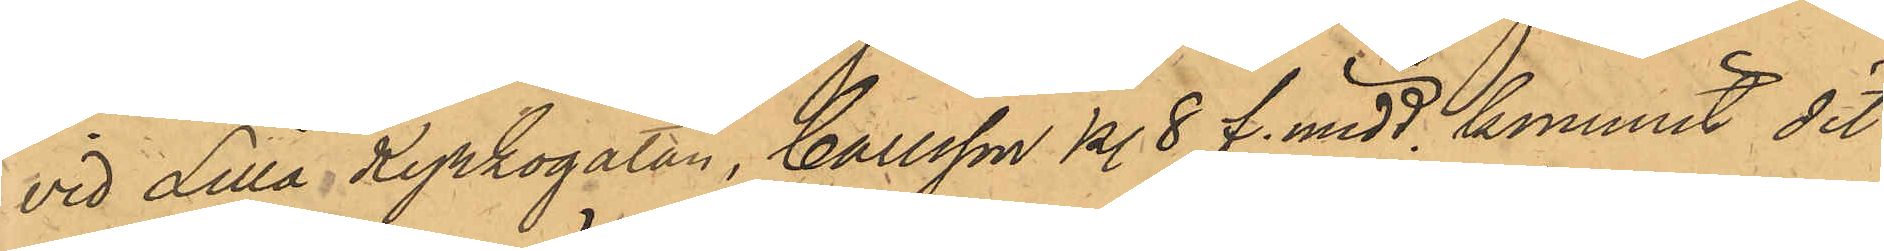vid Lilla Kyrkogatan, Carlsson kl. 8 f. midd kommit dit
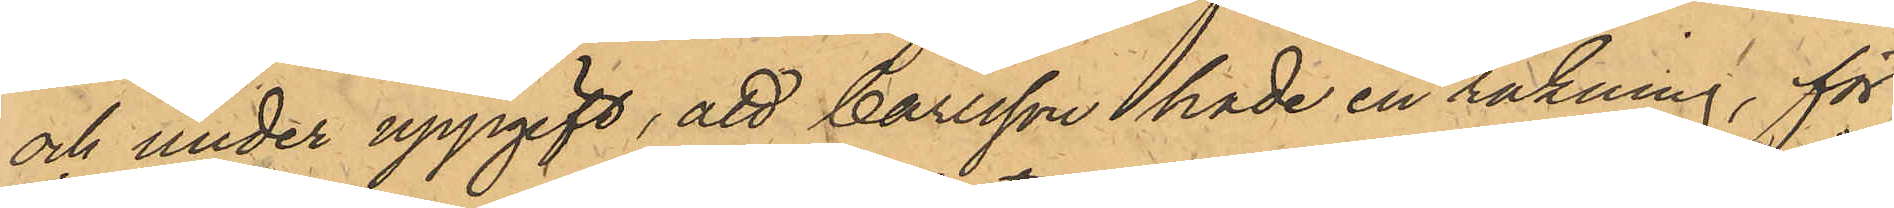och under uppgift, att Carlsson hade en räkning, för
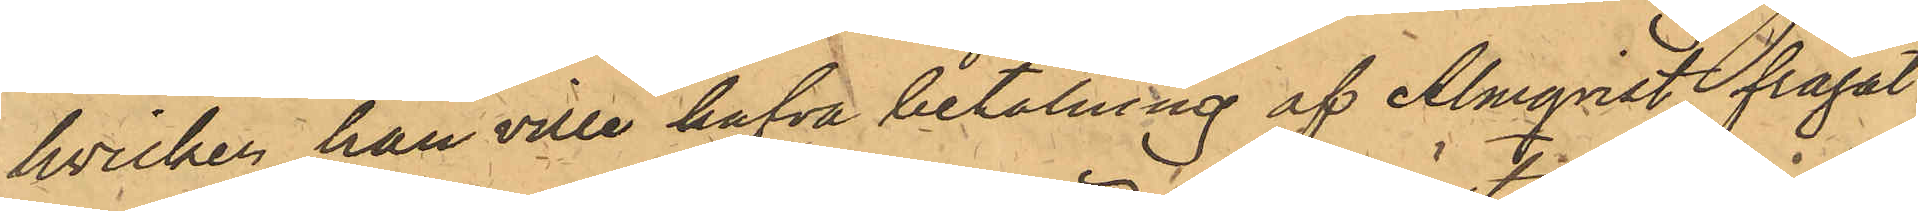hvilken han ville hafva betalning af Almqvist, frågat
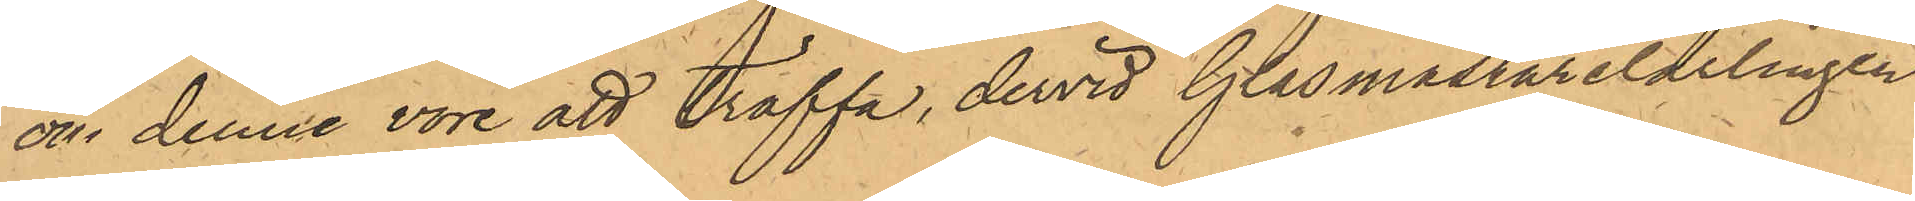om denne vore att träffa, dervid Glasmästarelärlingen
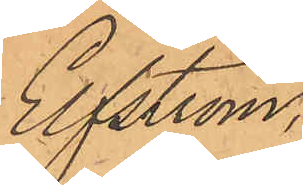Elfström,
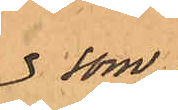som
